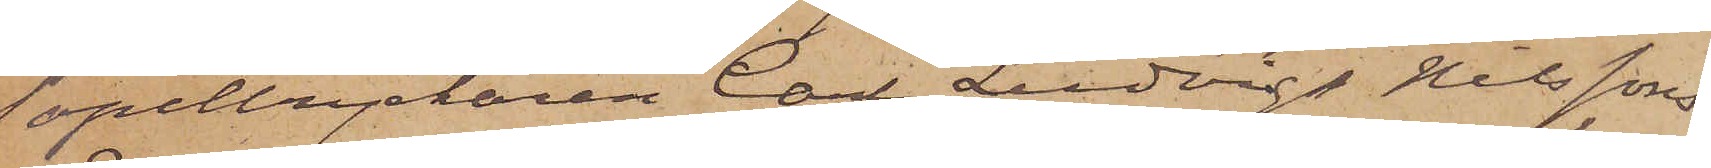Tapettryckaren Carl Ludvig Nilssons
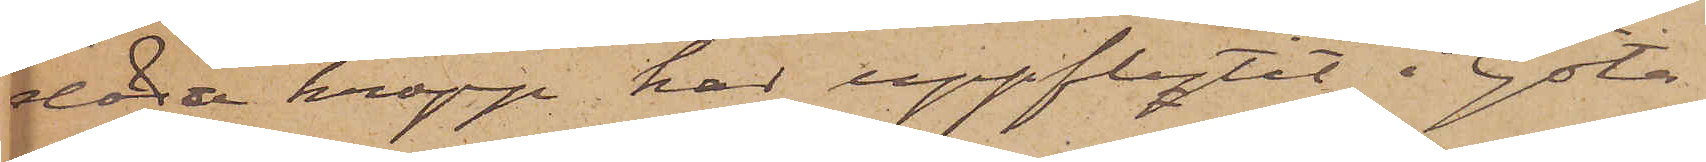döda kropp har uppflytit i Göta
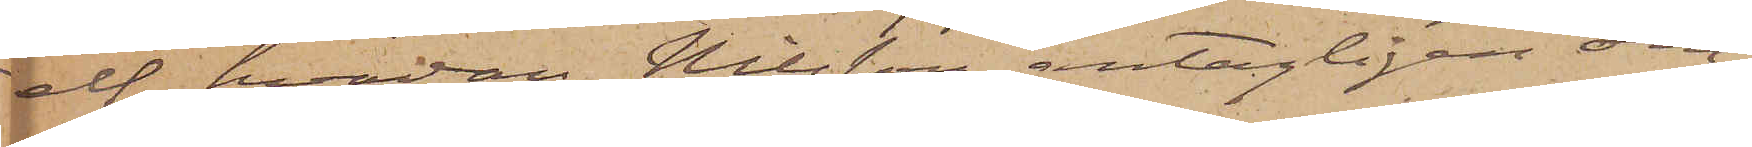elf, hvadan Nilsson antagligen om¬
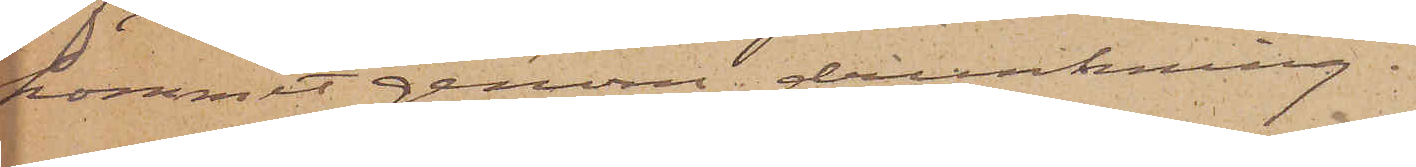kommit genom drunkning.
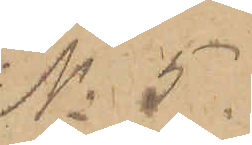No 5.
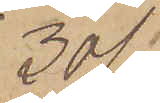30/1
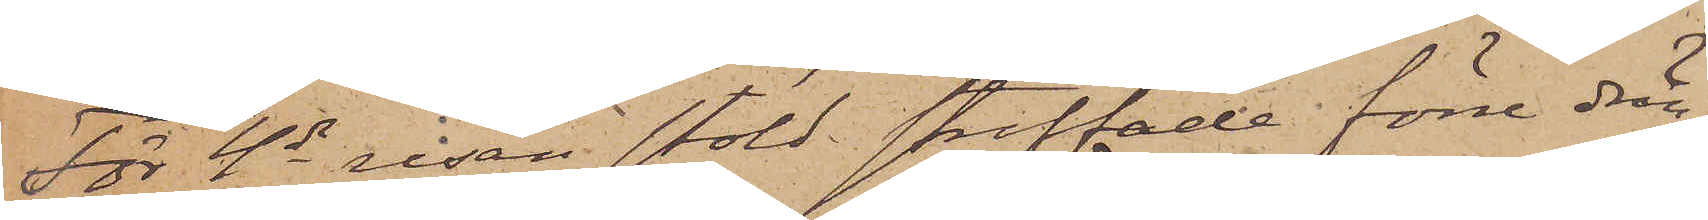För 4de resan stöld straffade förre drän¬
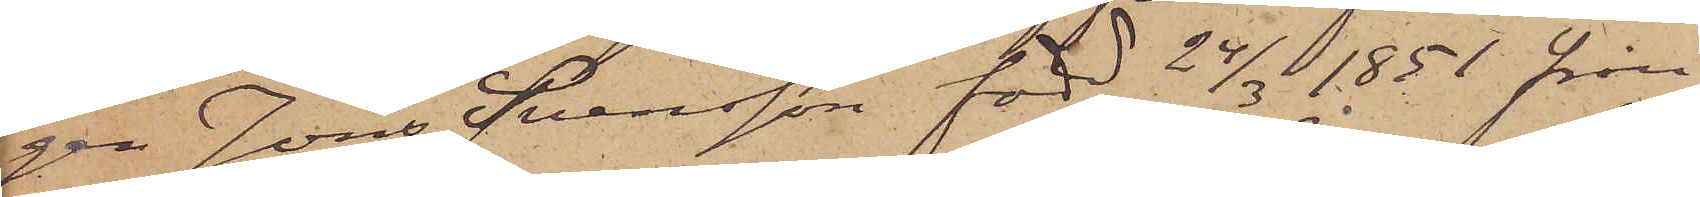gen Jöns Svensson, född 24/3 1851 från
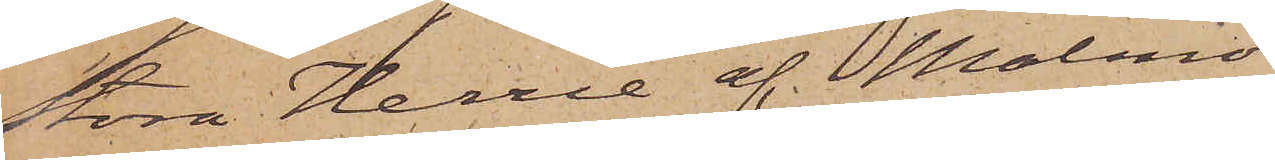Stora Herrie af Malmö
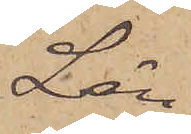Län
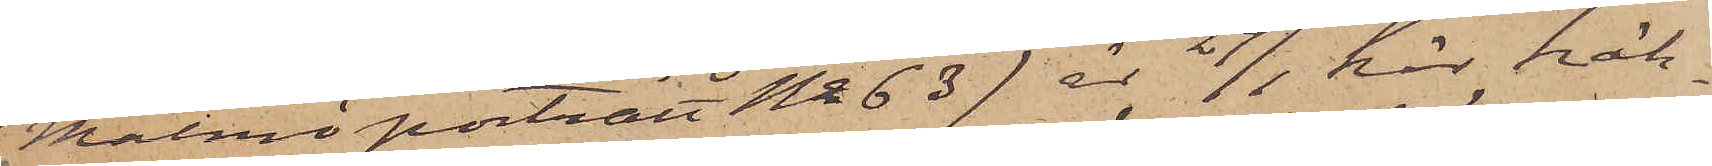(Malmö porträtt No 63) är 29/1 här häk¬
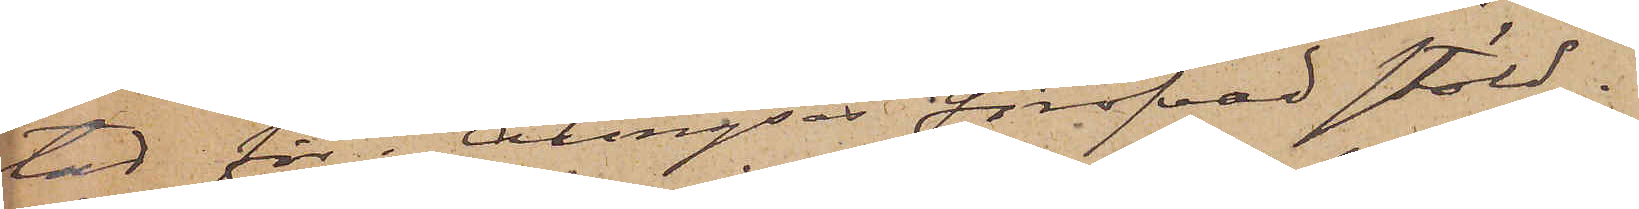tad för i Alingsås föröfvad stöld.
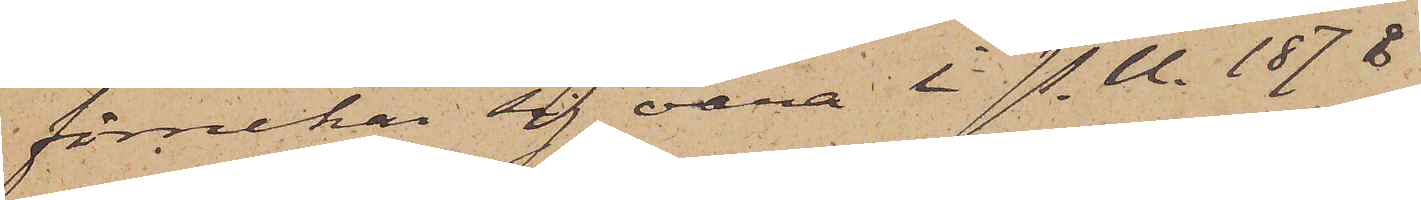förnekar sig vara i P. U. 1878
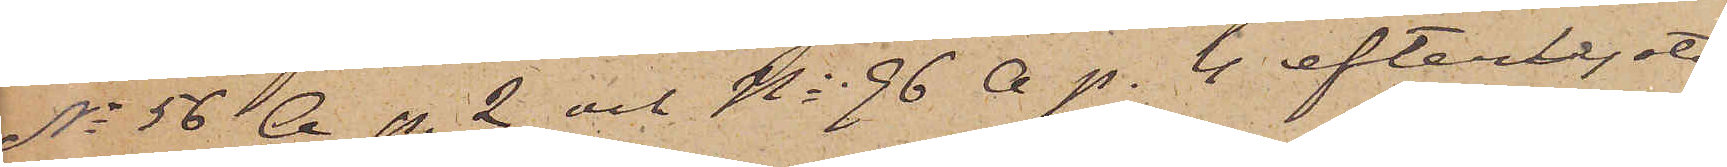No 56 A p. 2 och No 96 A p. 4 efterlyste
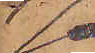J
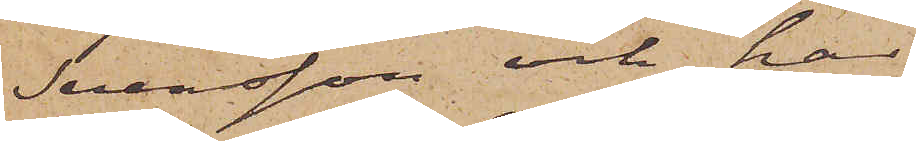Svensson och har
